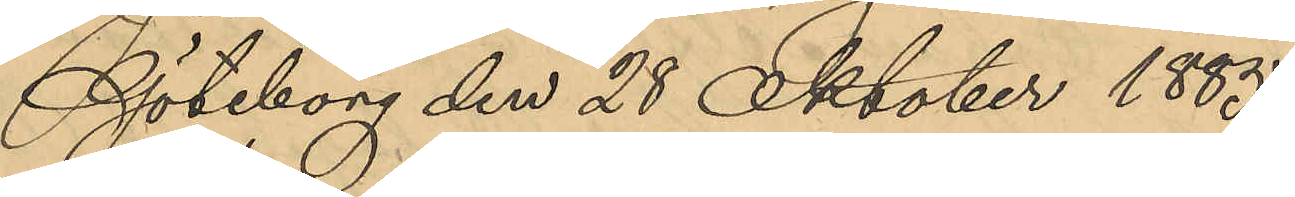Göteborg den 28 Oktober 1885.
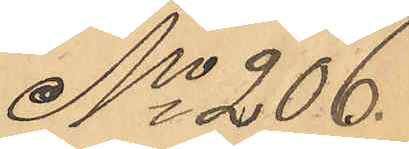No 206.
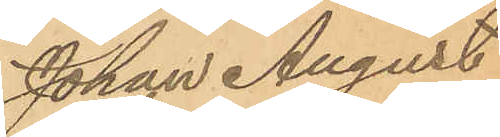Johan August
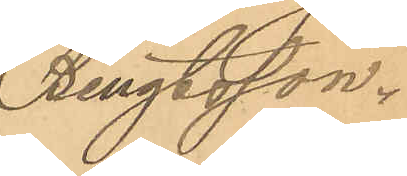Bengtsson.
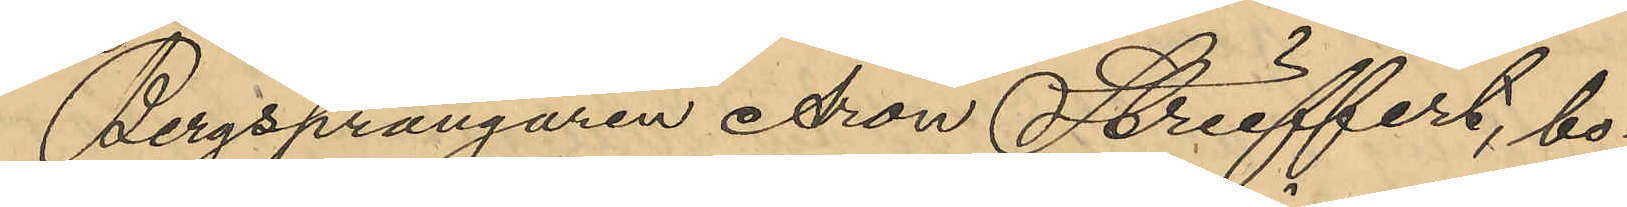Bergsprängaren Aron Strieffert, bo¬
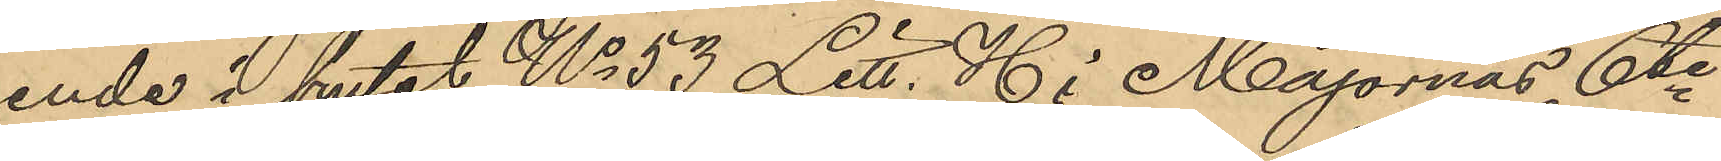ende i huset No 53 Litt. H i Majornas 6te
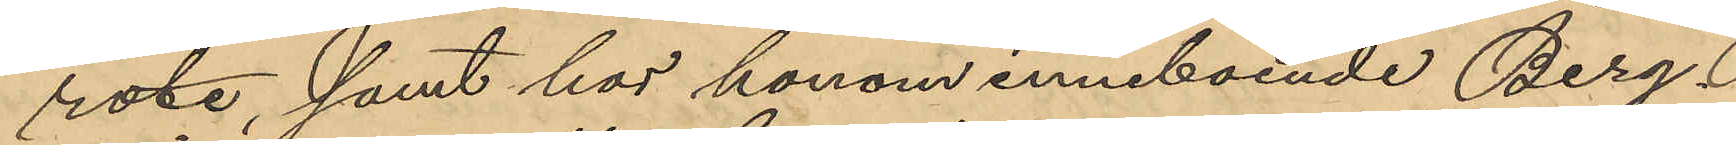rote, samt hos honom inneboende Berg¬
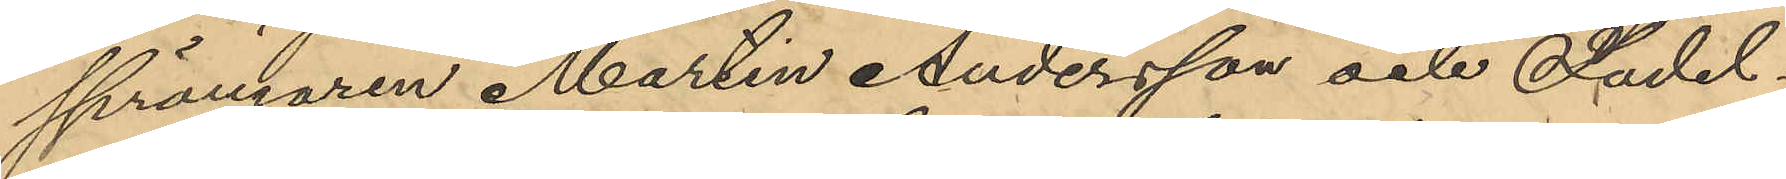sprängaren Martin Andersson och Sadel¬
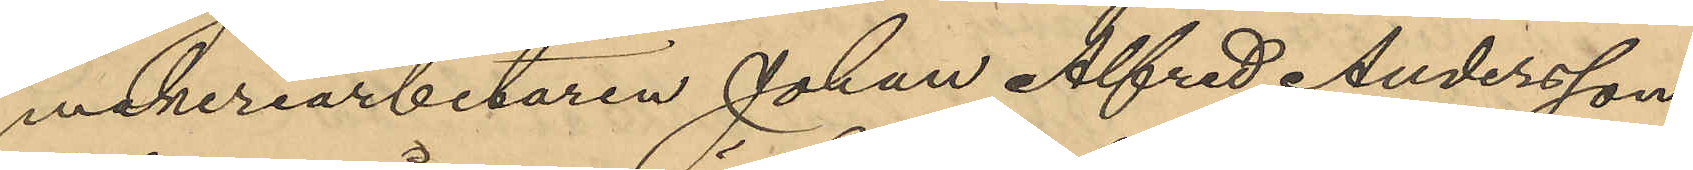makeriarbetaren Johan Alfred Andersson
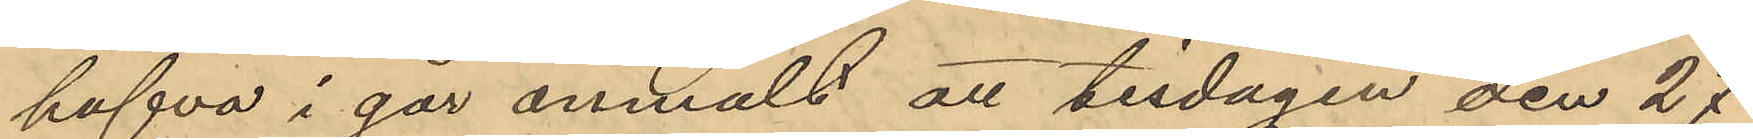hafva i går anmält att tisdagen den 27
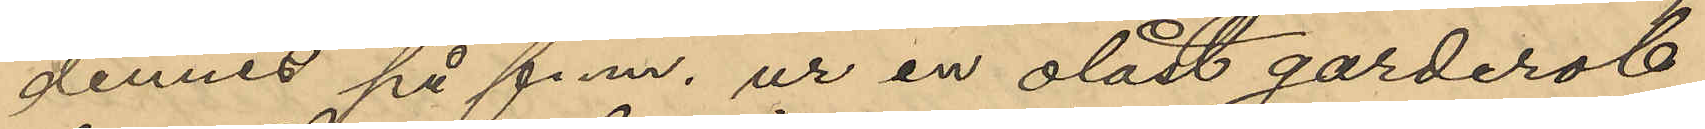dennes på fem. ur en olåst garderob
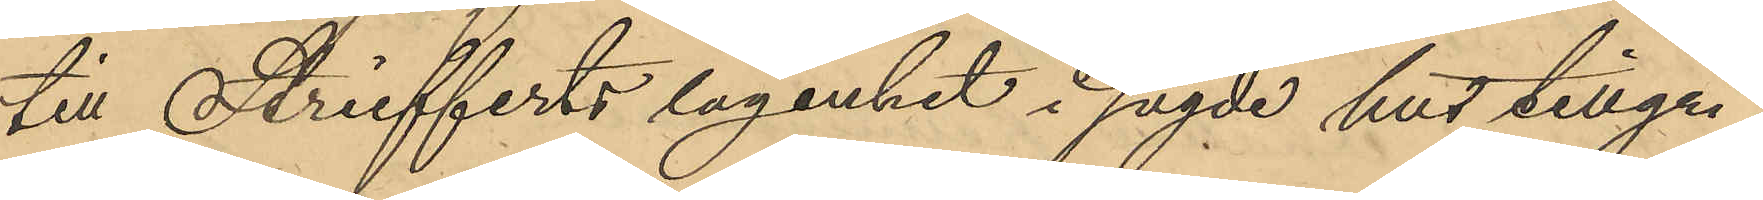till Striefferts lägenhet i sagde hus tillgri¬
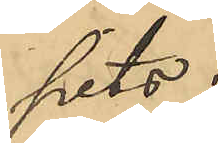pits:
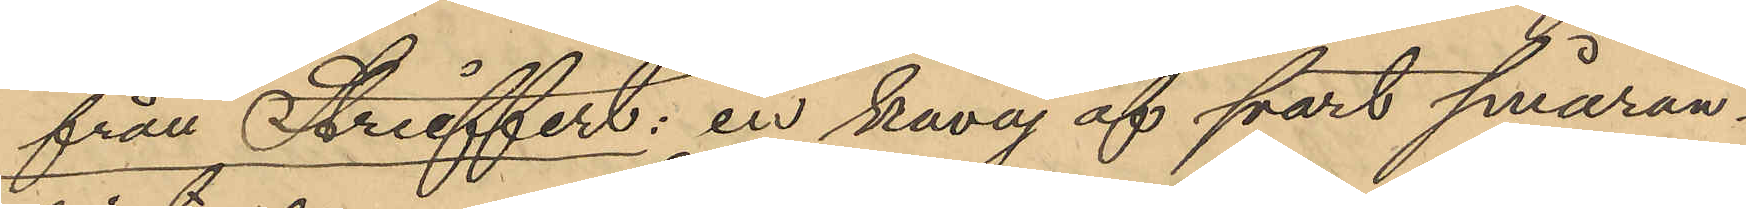från Strieffert: en kavaj af svart småran¬
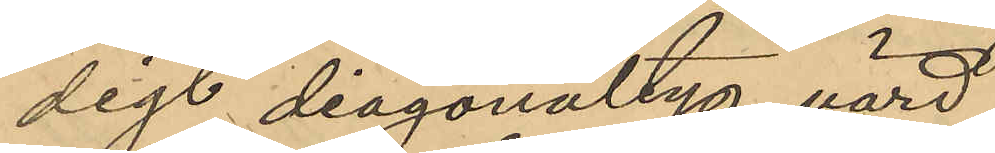digt diagonaltyg, värd
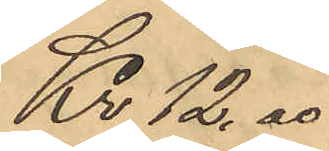Kr. 12,00
